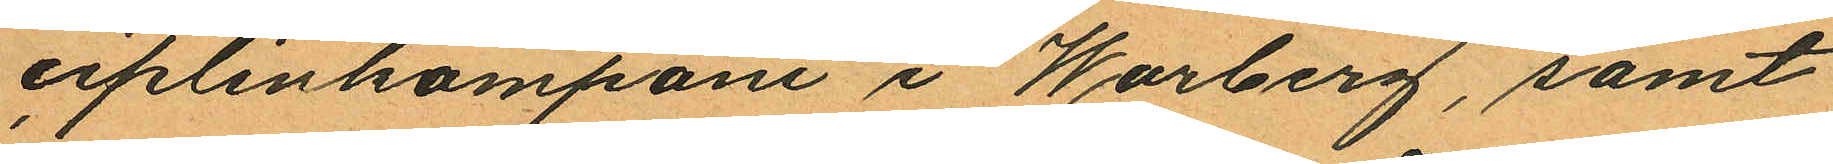ciplinkompani i Warberg, samt
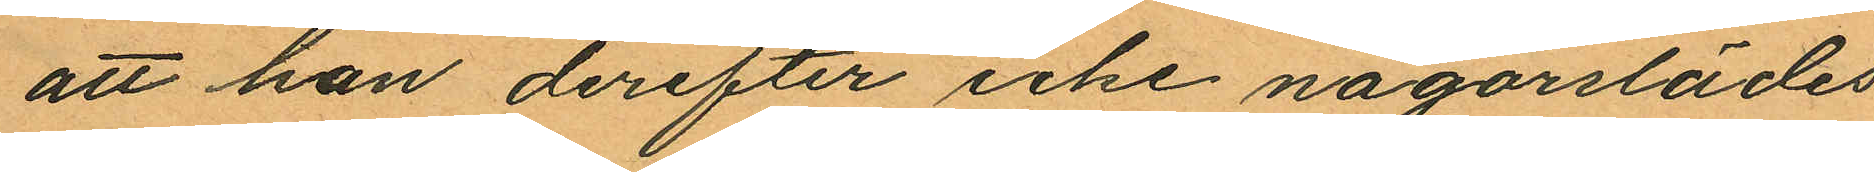att han derefter icke någorslädes
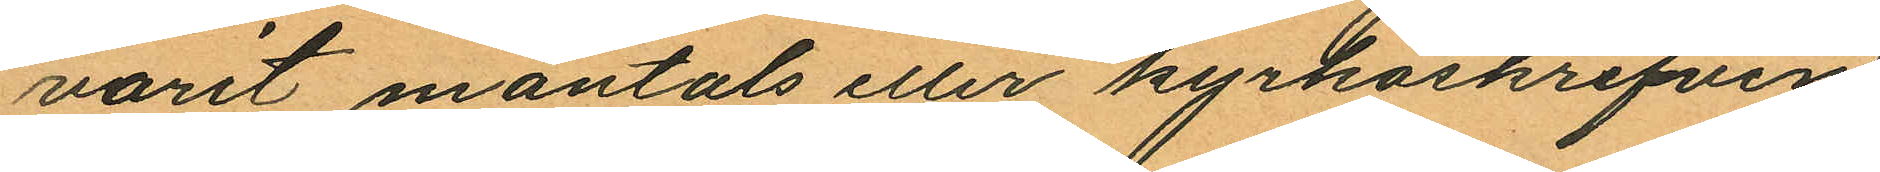varit mantats eller kyrkoskrifven.
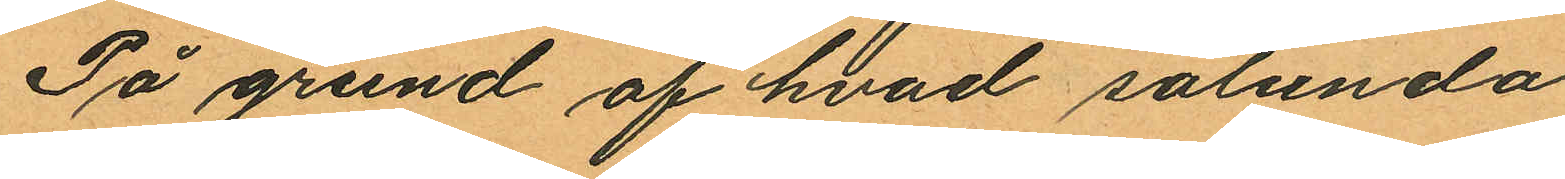På grund af hvad sålunda
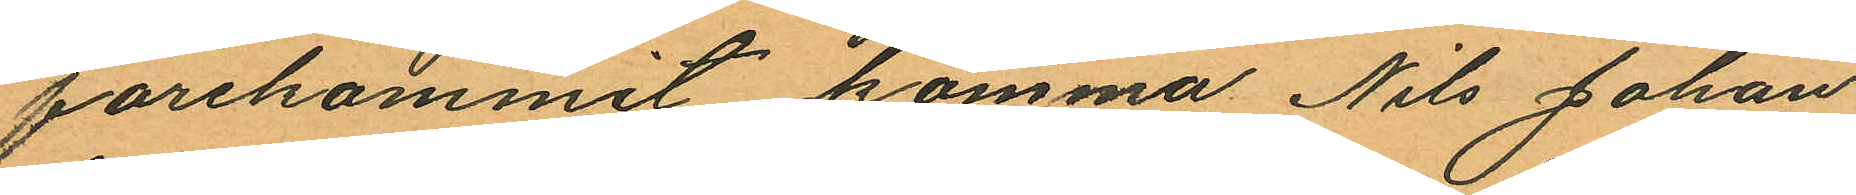förekommit, komma Nils Johan
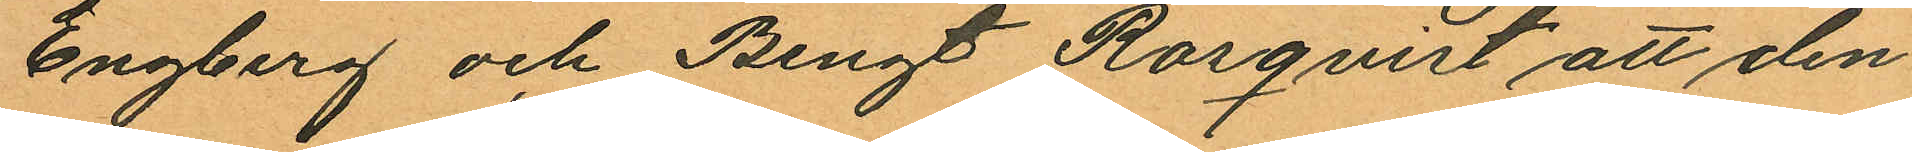Engberg och Bengt Rosqvist att den¬
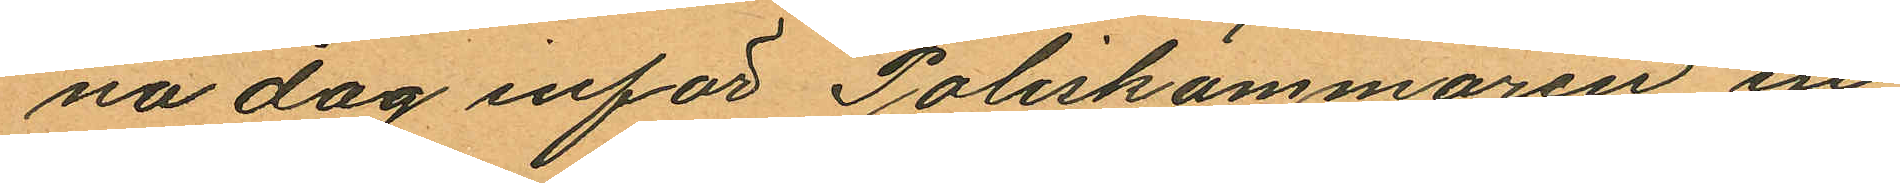na dag inför Poliskammaren in¬
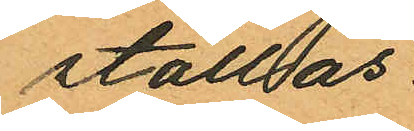ställas.
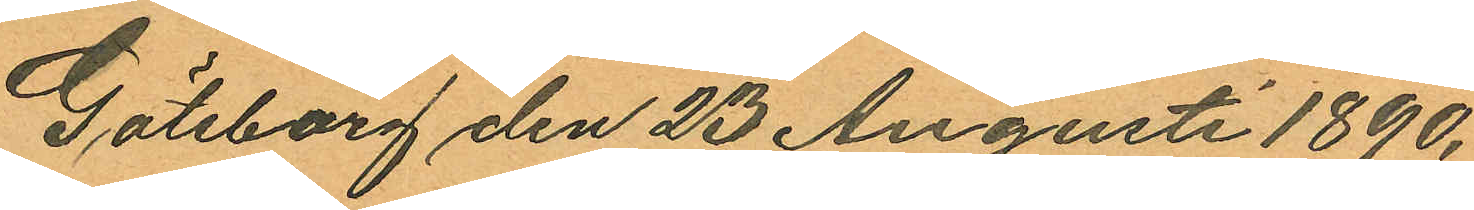Göteborg den 23 Augusti 1890.
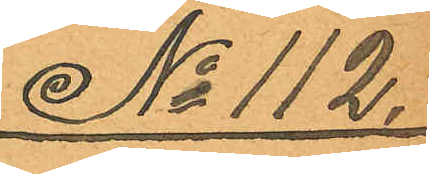No 112.
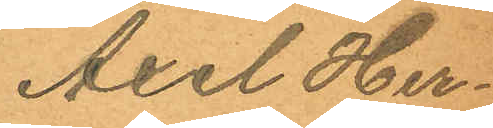Axel Her¬
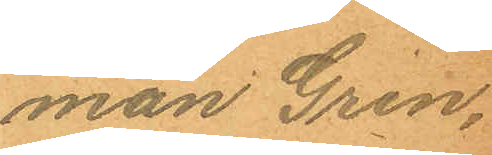man Gren.
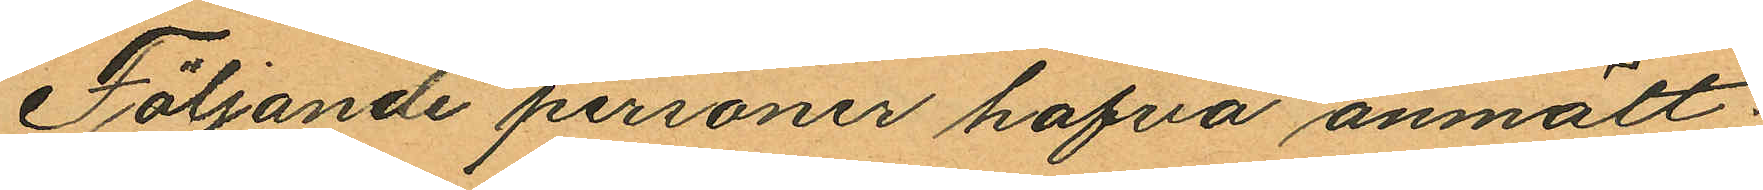Följande personer hafva anmält:
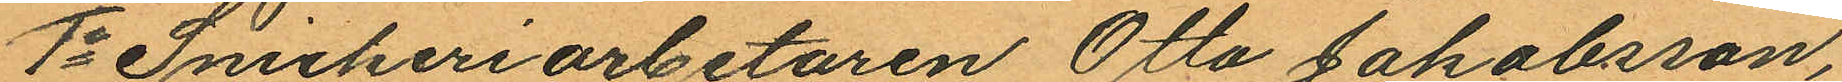1o Snickeriarbetaren Otto Jakobsson,
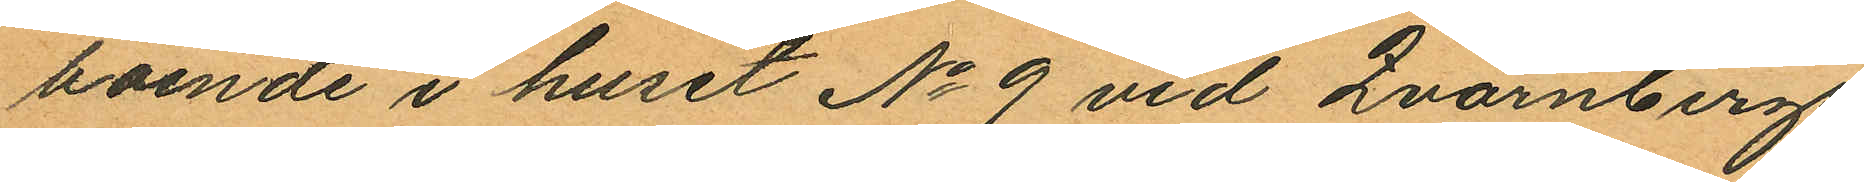boende i huset No 9 vid Qvarnbergs¬
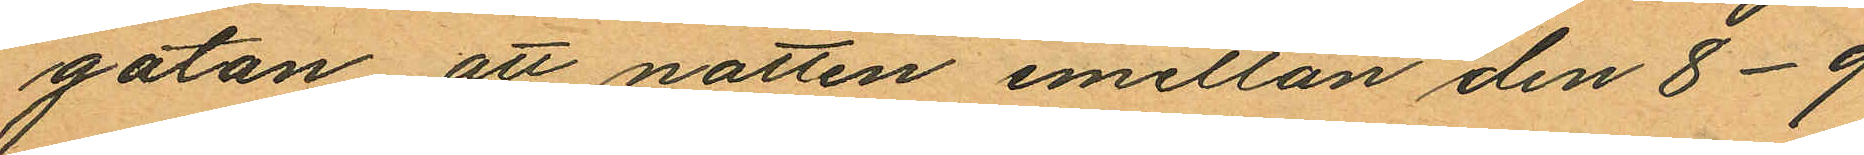gatan att natten emellan den 8-9
